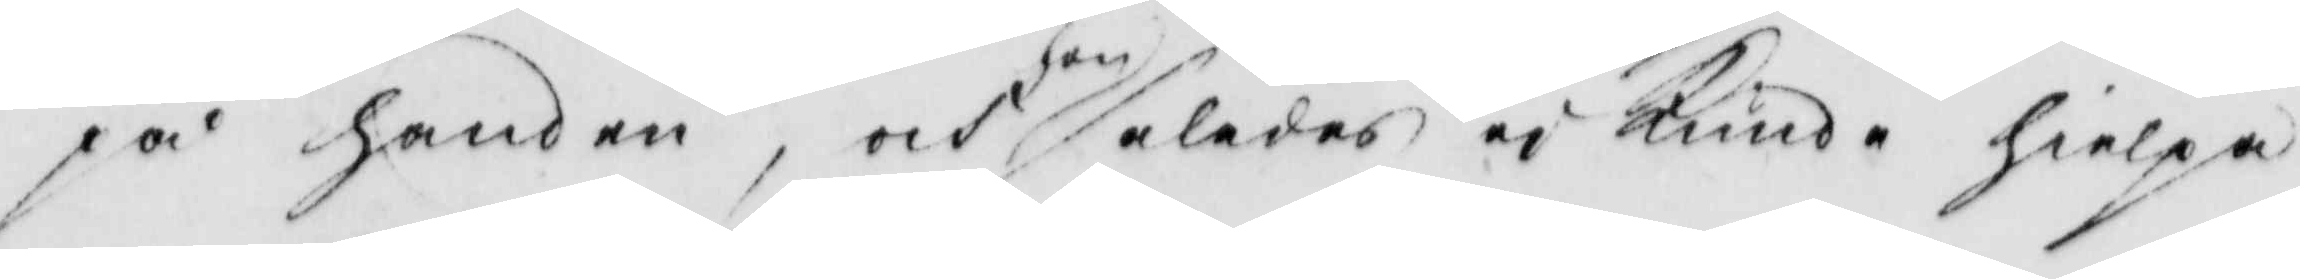på handen, och hon således ej kunde hielpa
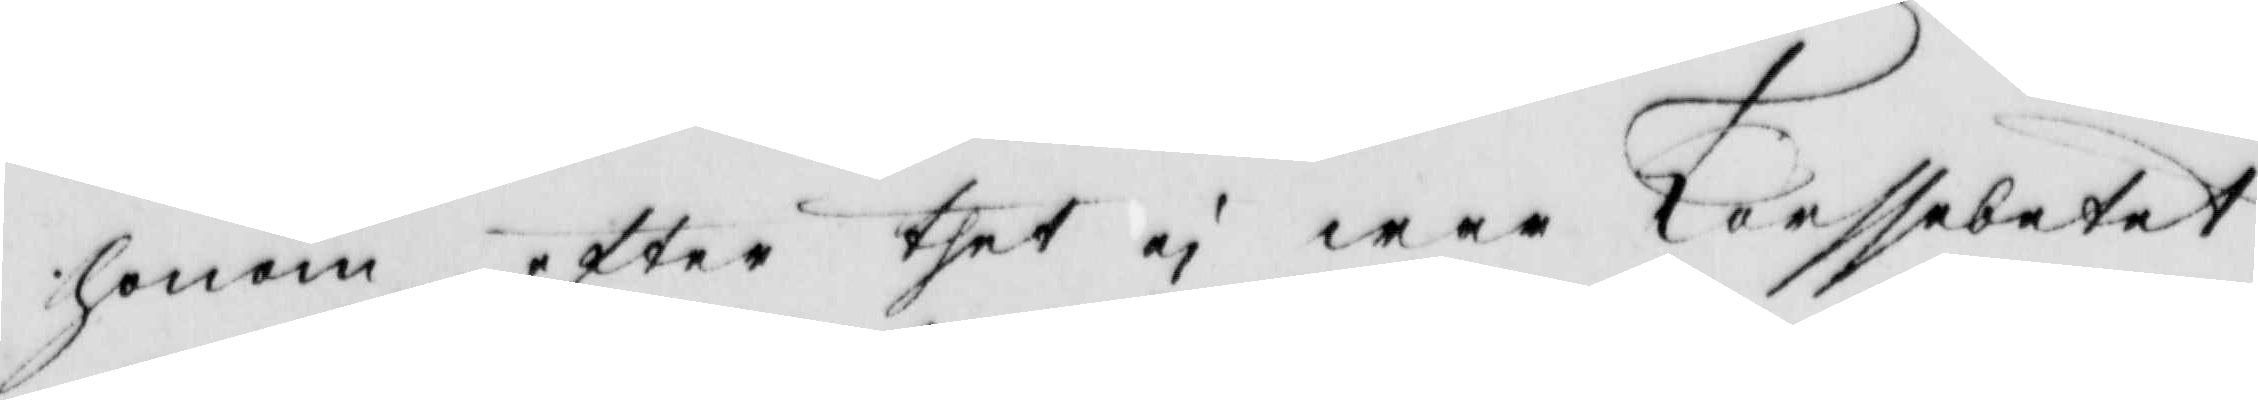honom efter thet ej war Torssebetet
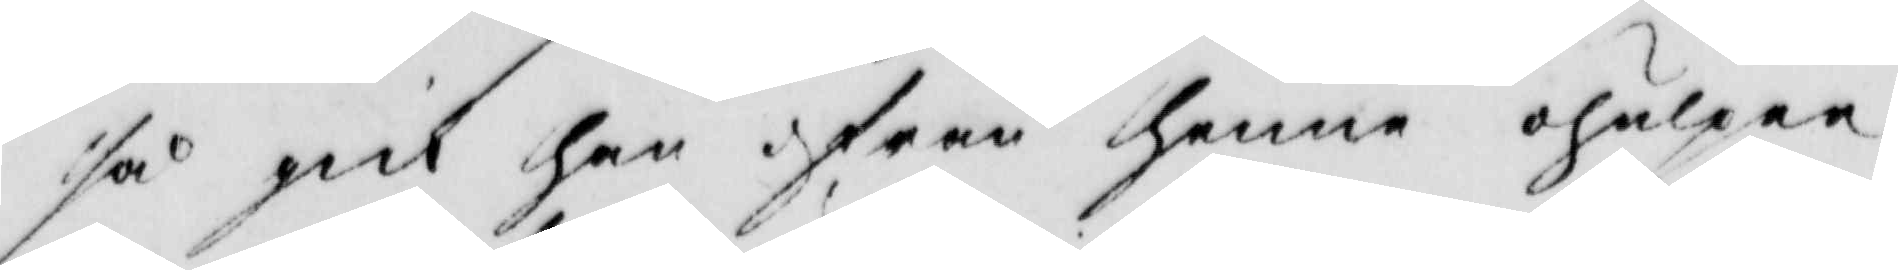så gick han ifrån henne ohulpen.
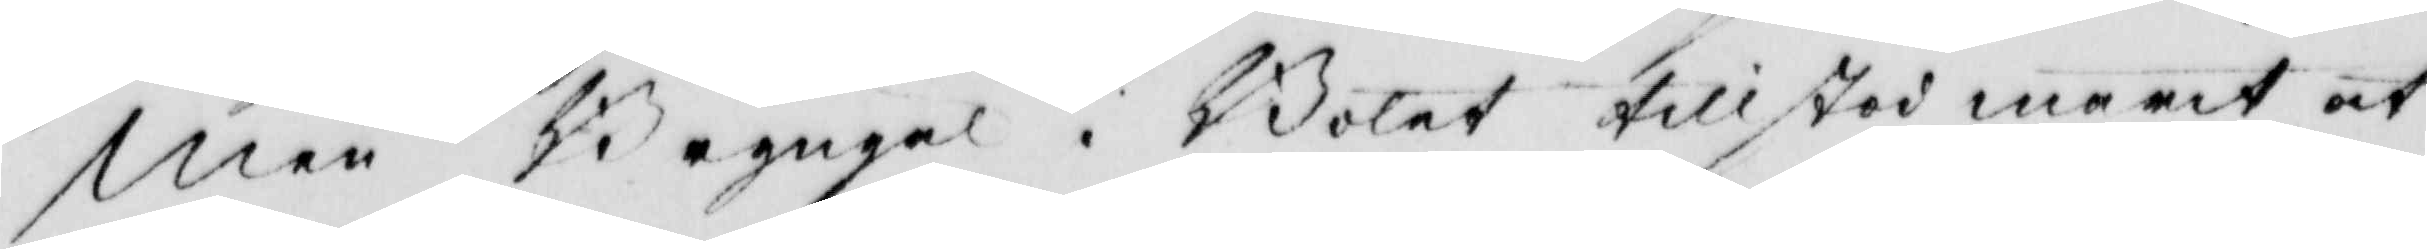men Bryngel i Bolet tillstod marit at
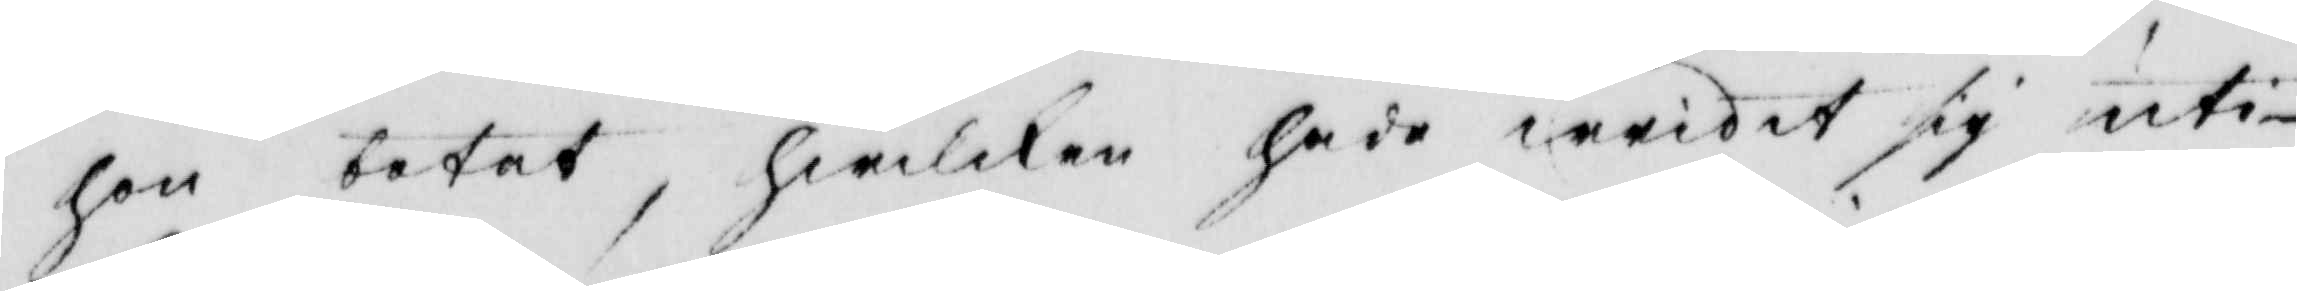hon botat, hwilken hade wridit sig uti
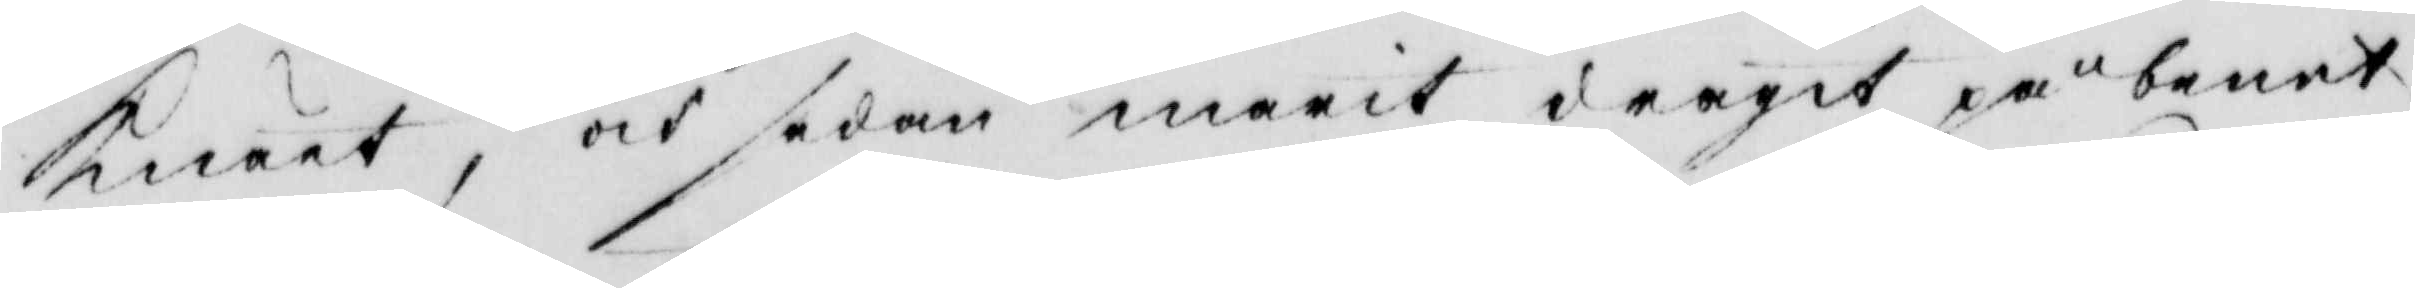knäet, och sedan marit dragit på benet
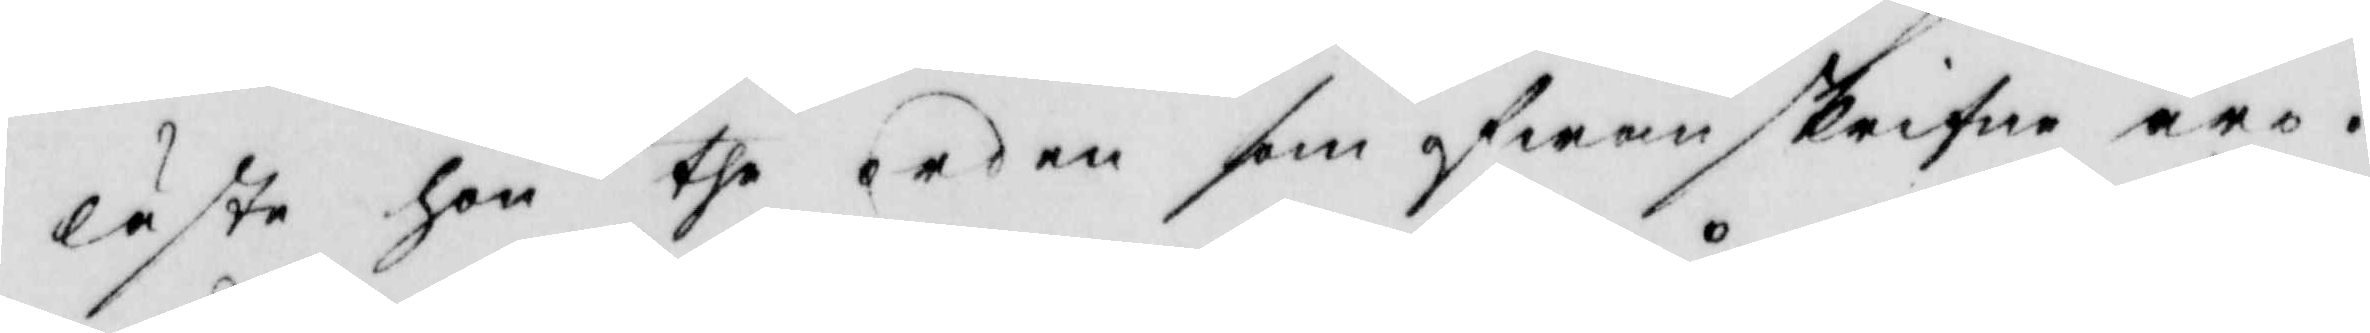läste hon the orden som ofwan skrifne äro.
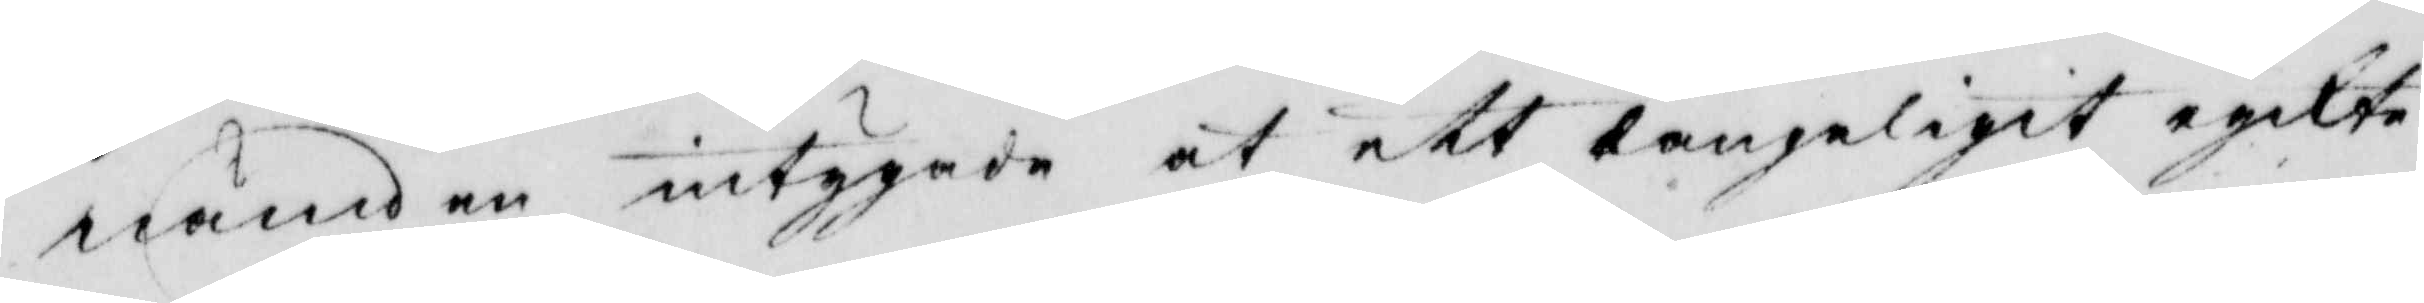nämden intygade at ett långeligit rykte
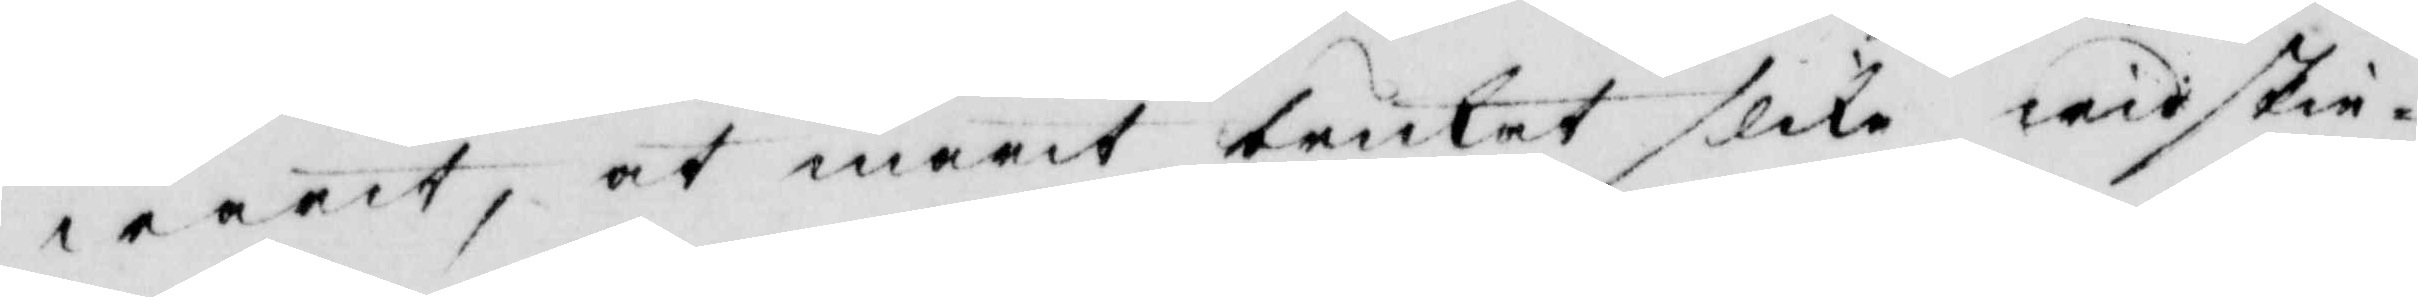warit, at marit brukat slika widskie¬
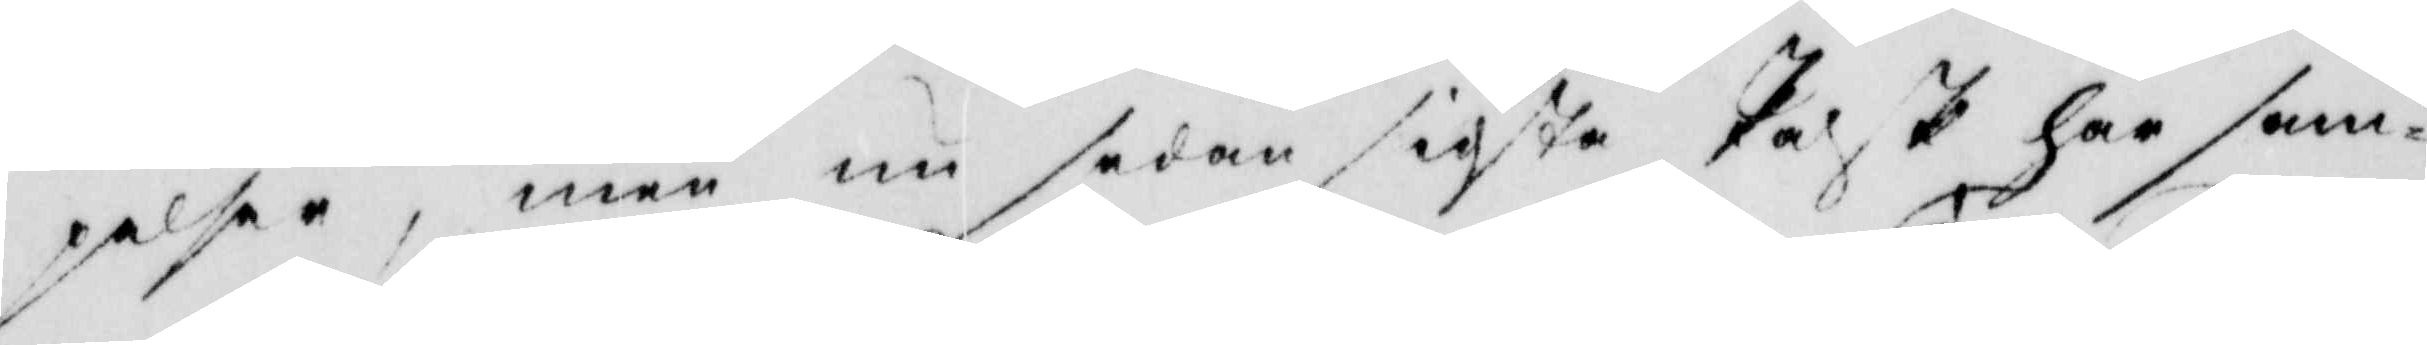pelser, men nu sedan sidsta Påsk har sam¬
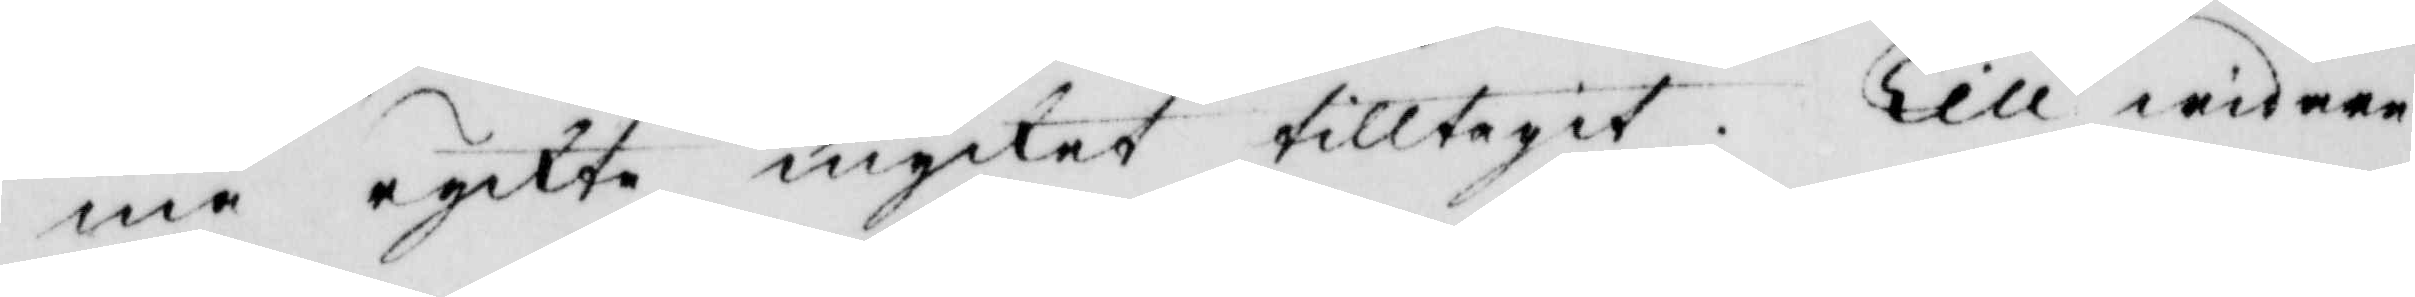ma ryckte mycket tilltagit. Till widare
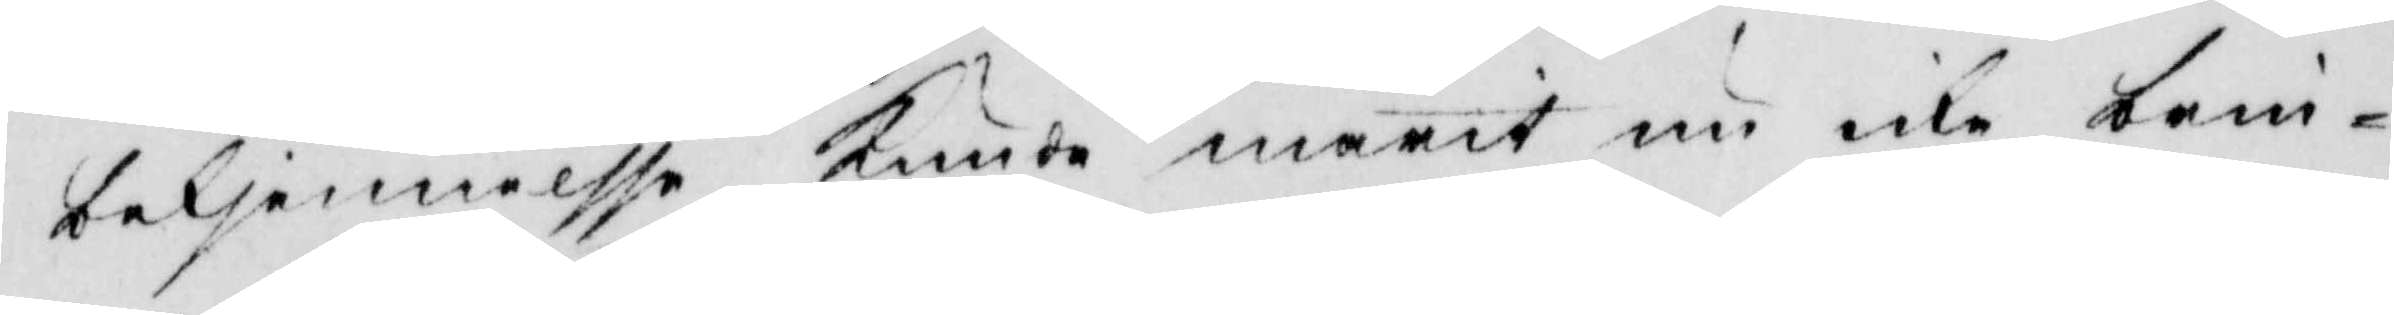bekjennelsse kunde marit nu icke brin¬
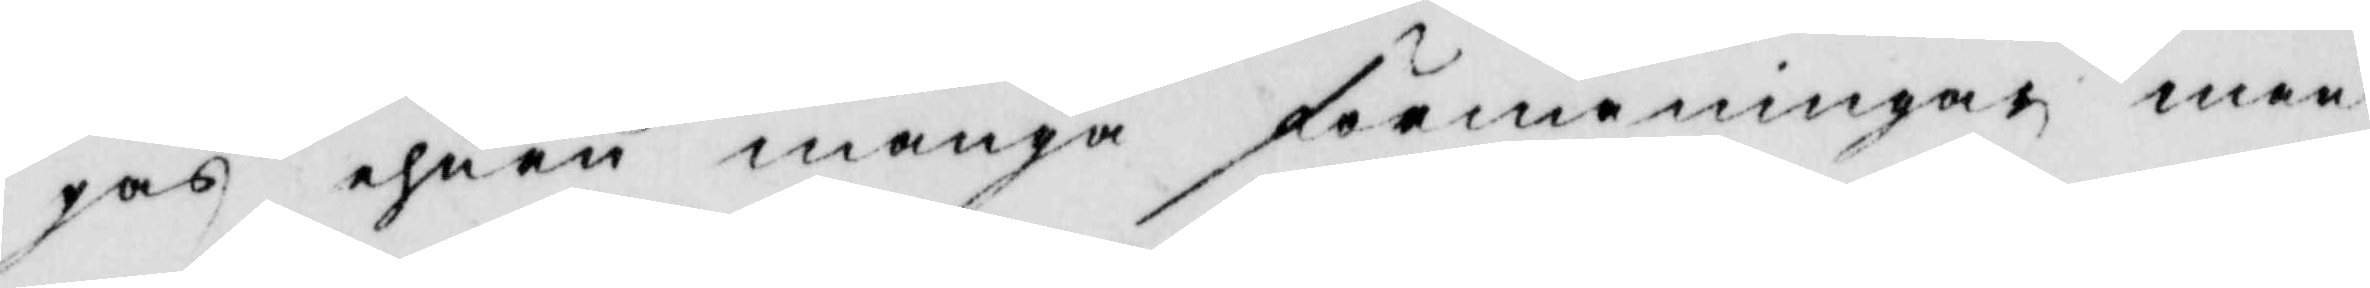gas ehuru många förmaningar man
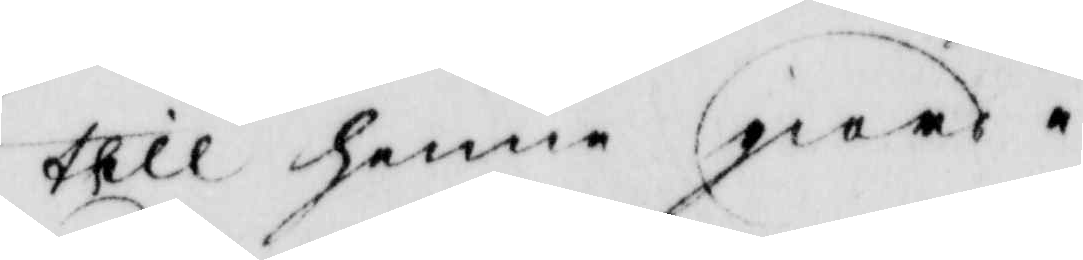till henne giorde.
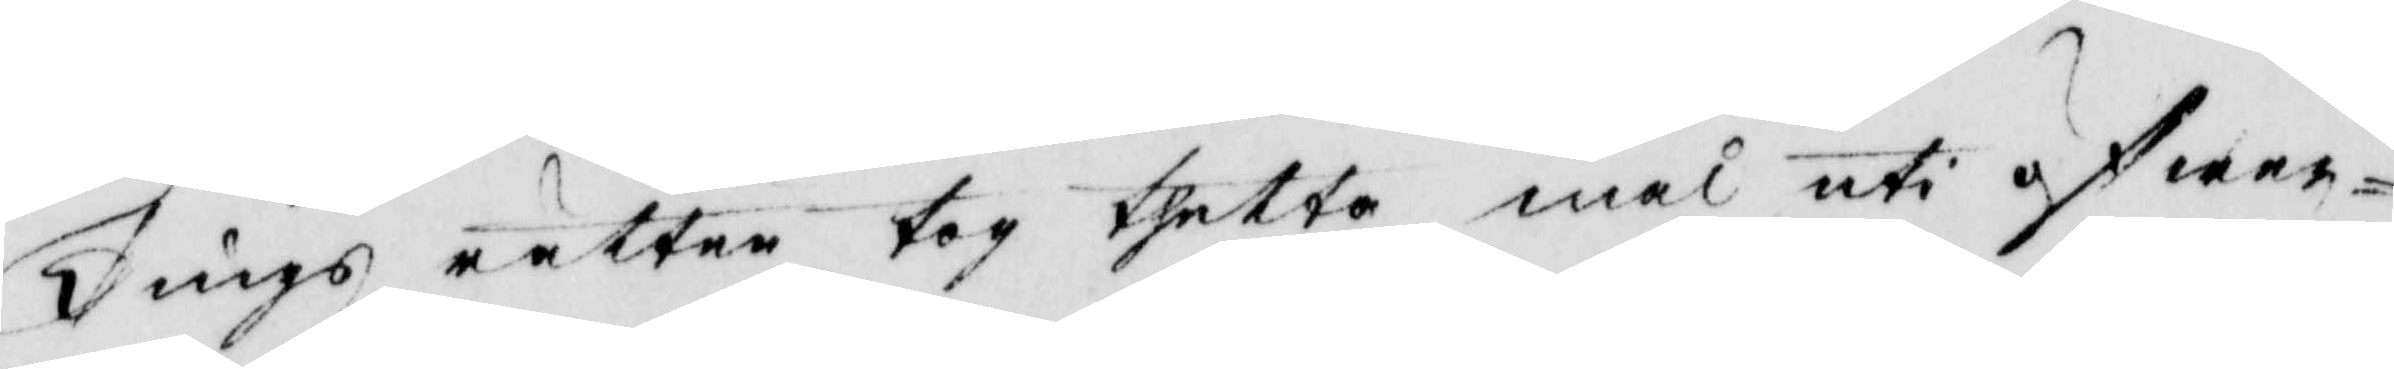Tings rätten tog thetta mål uti öfwer¬
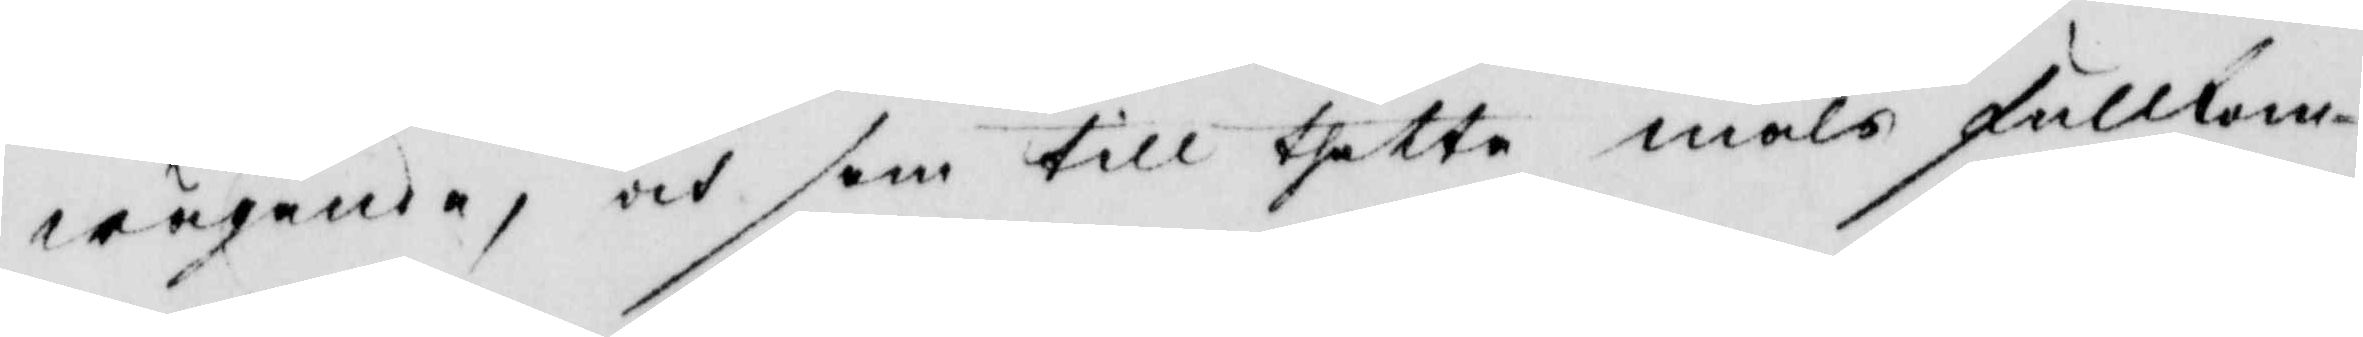wägande, och som till thetta måls fullkom¬
